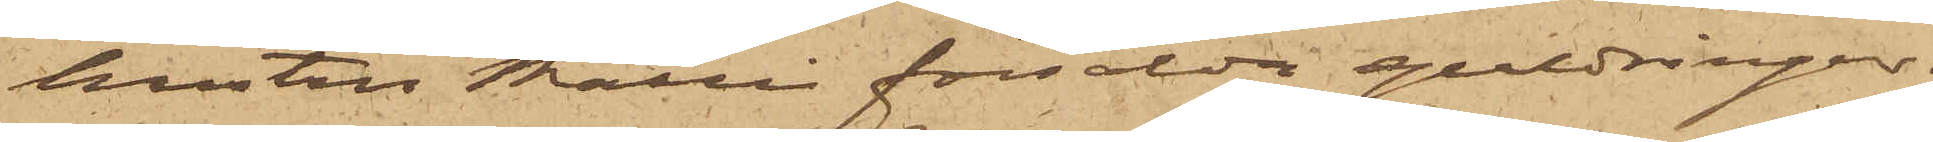hustru Malli försålda guldringar;
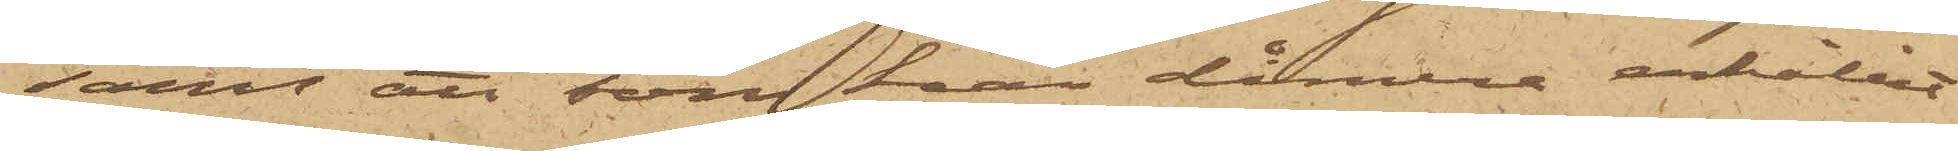samt att som han dåmera erhållit
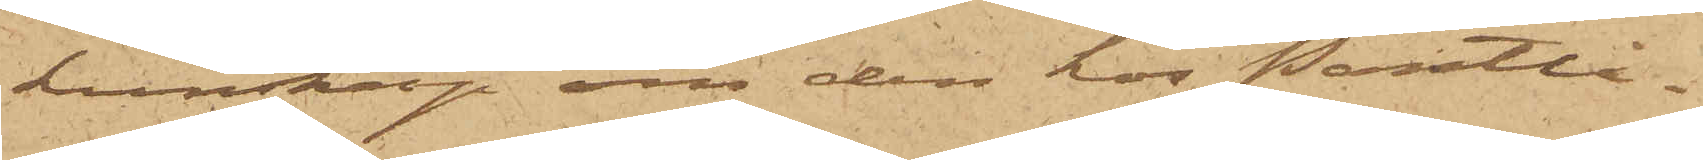kunskap om den hos Pantlå¬
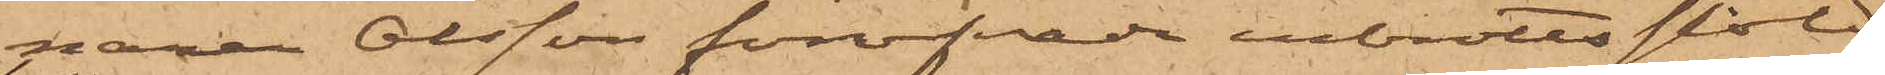naren Olsson föröfvade inbrottsstöld
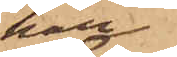han
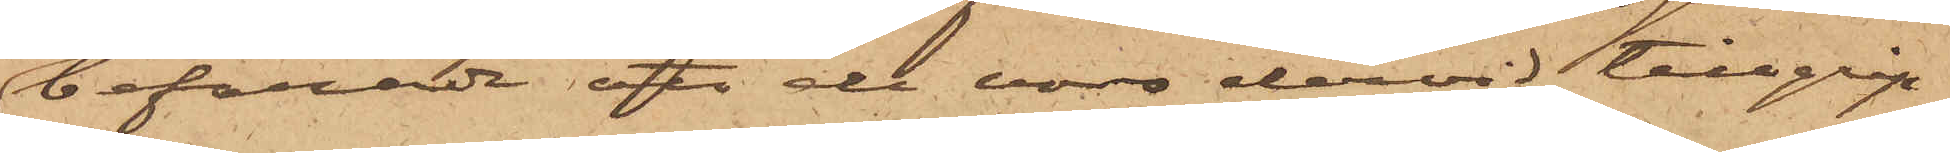befarade att de voro dervid tillgrip¬
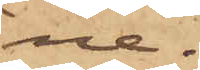ne.
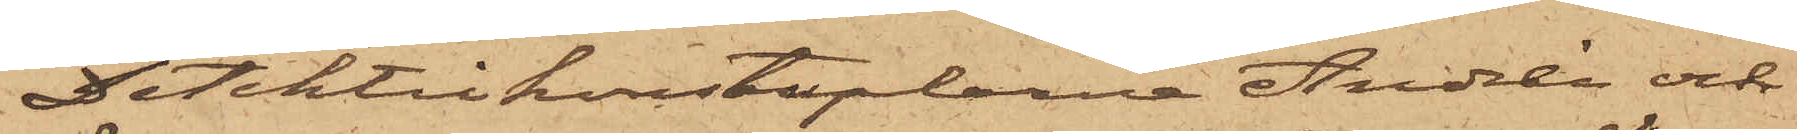Detektivkonstaplarna Andrén och
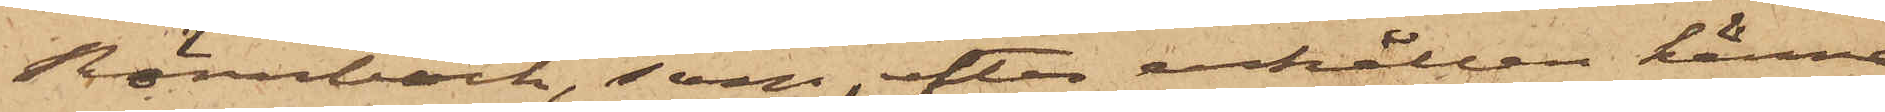Rönnbäck, som, efter erhållen känne¬
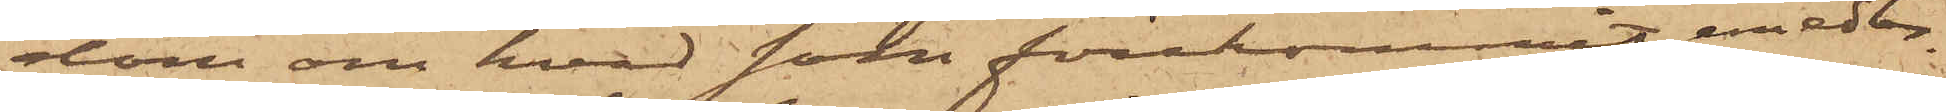dom om hvad som förekommit, emedler¬
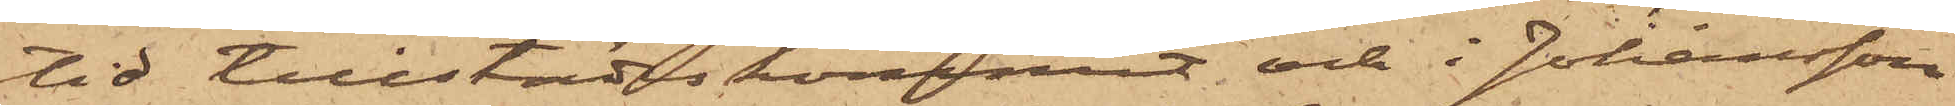tid tillstädeskommit och i Johansson
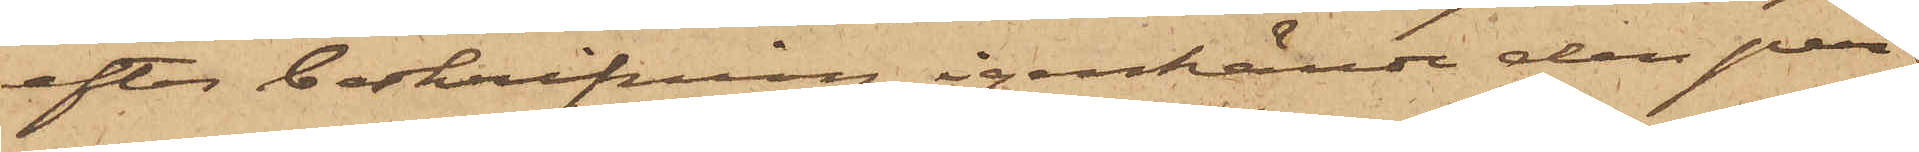efter beskrifning igenkände den per¬
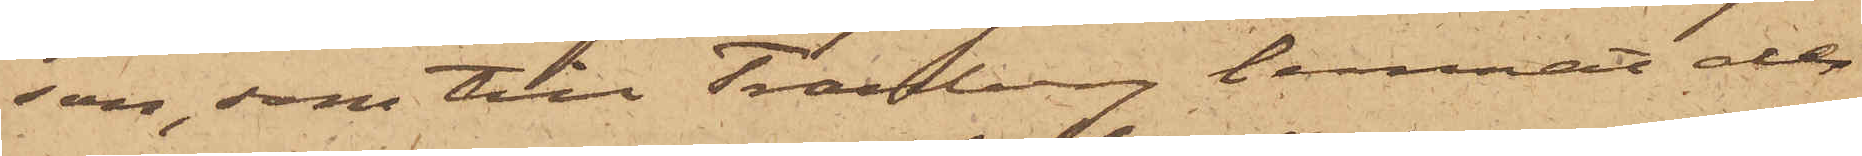son, som till Tranberg lemnat de
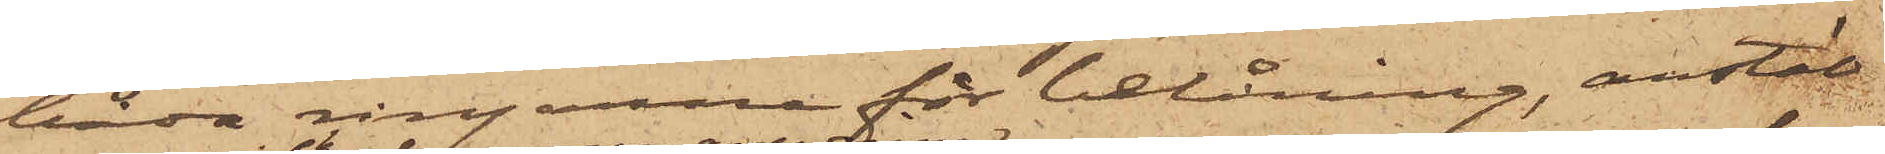båda ringarne för belåning, anstäld
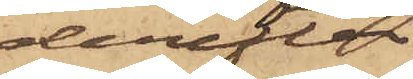derefter
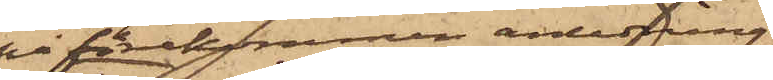på förekommen anledning
